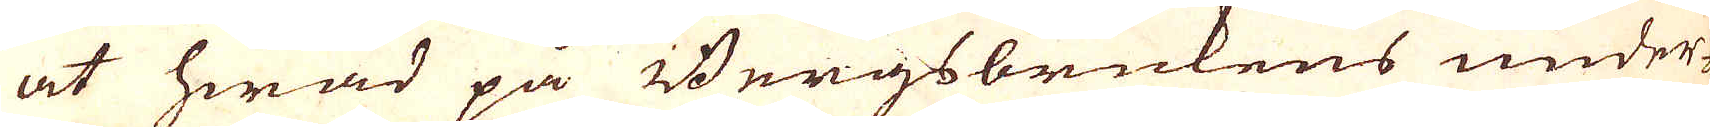at hwad på Bergsbrukens under-
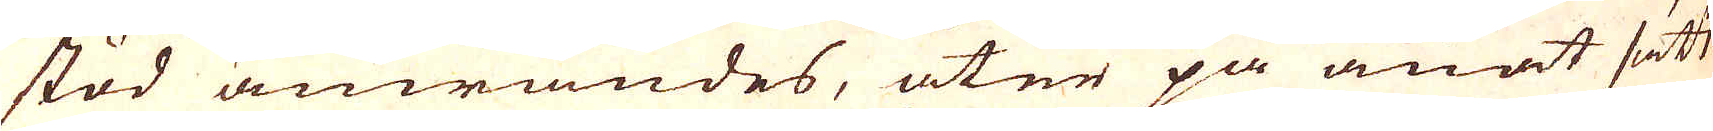stod anwändes, åter på anat sätt
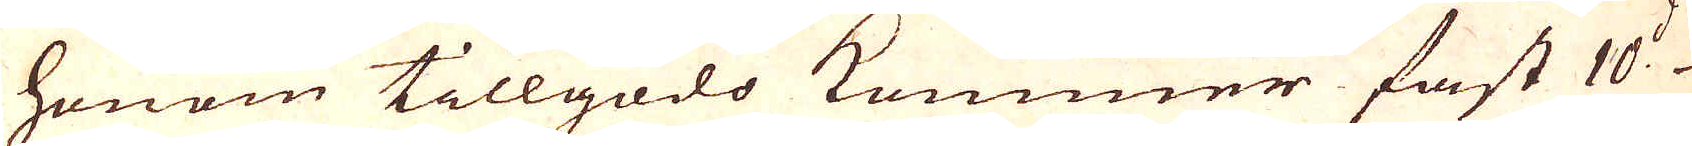honom tillgodo kommer fast 10:de
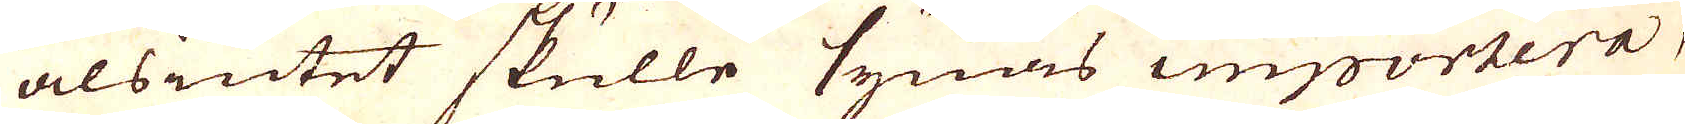alsintet skulle synas importera,
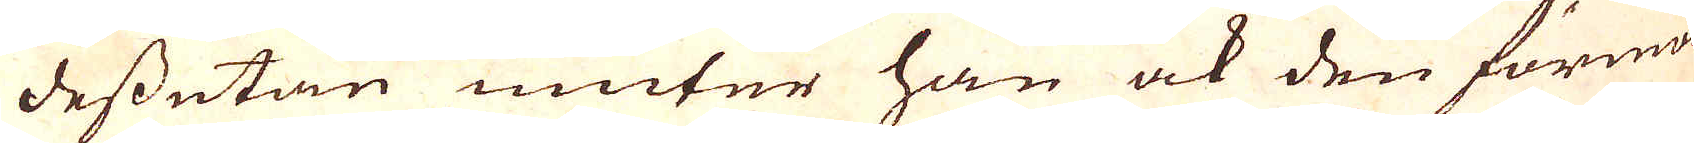dessutan niuter han ock den förmon
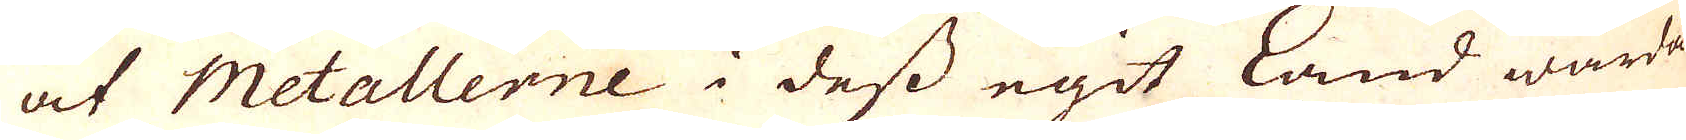at Metallerne i dess egit Land warda
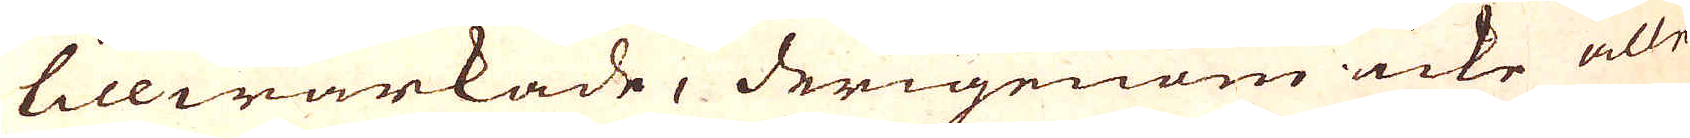tillwärkade, derigenom icke alle
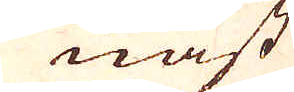nast
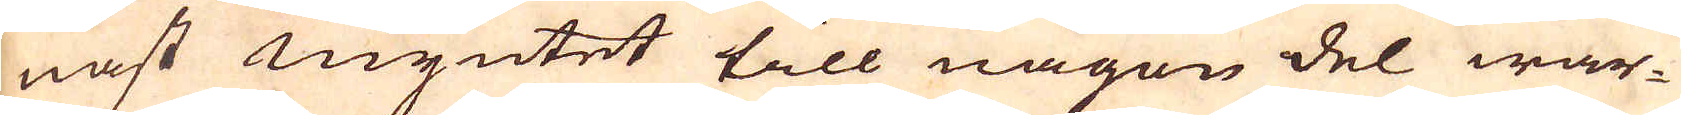nast myntet till någon del war-
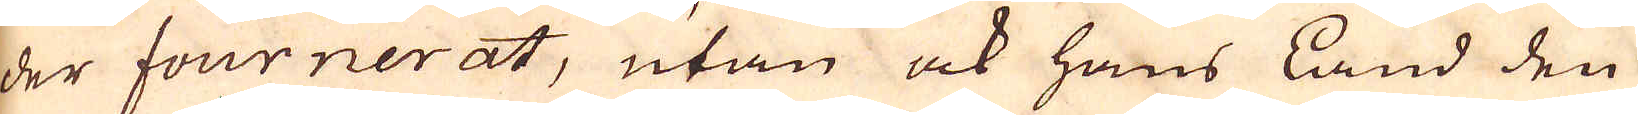der fournerat, utan ock hans Land den
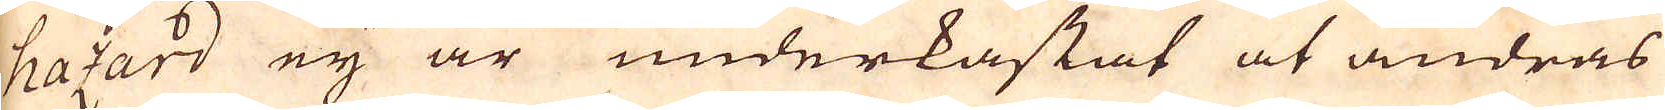hazard eij är underkastat at andras
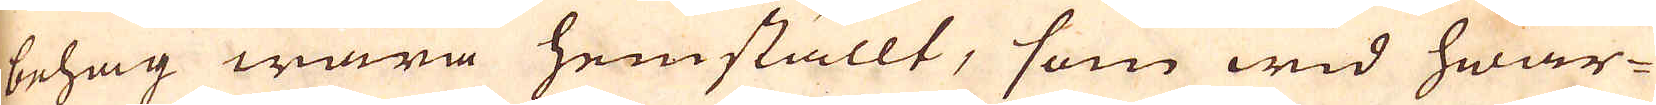behag wara hemställt, som wid hwar-
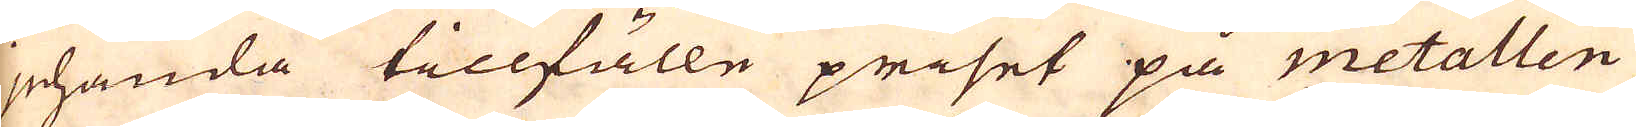jehanda tillfälle priset på metallen
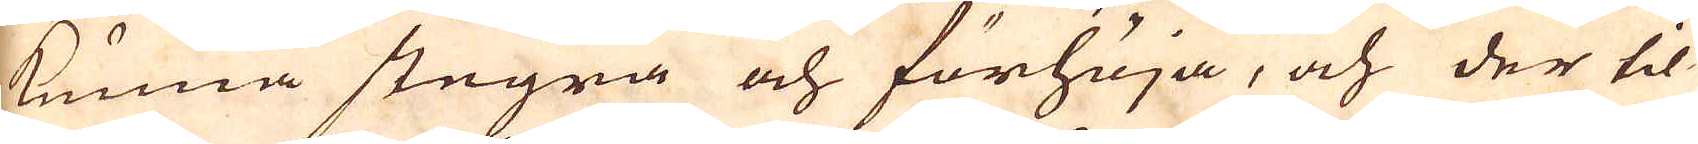kunna stegra och förhöja, och der til
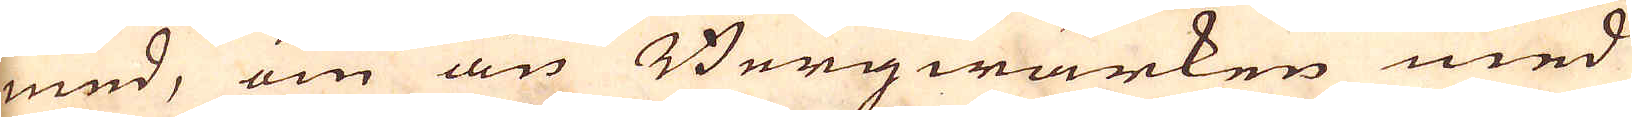med, om än Bergwärken med
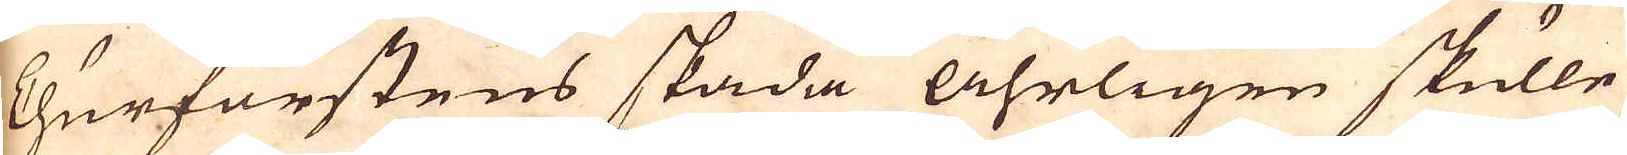Churfurstens skada åhrligen skulle
